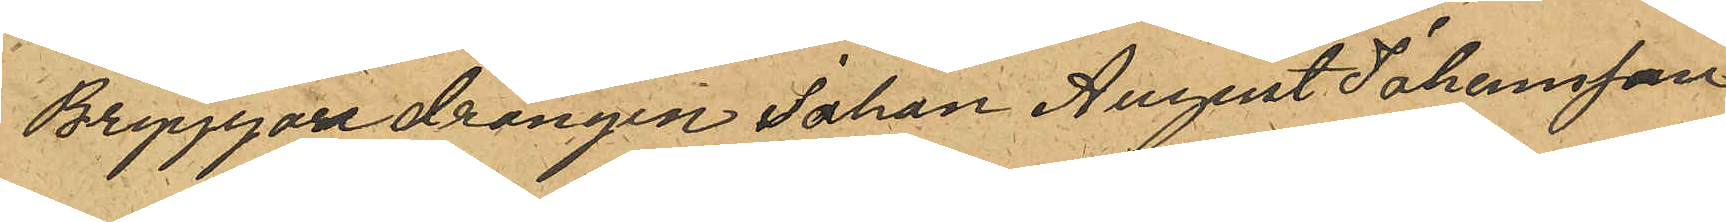Bryggaredrängen Johan August Johansson
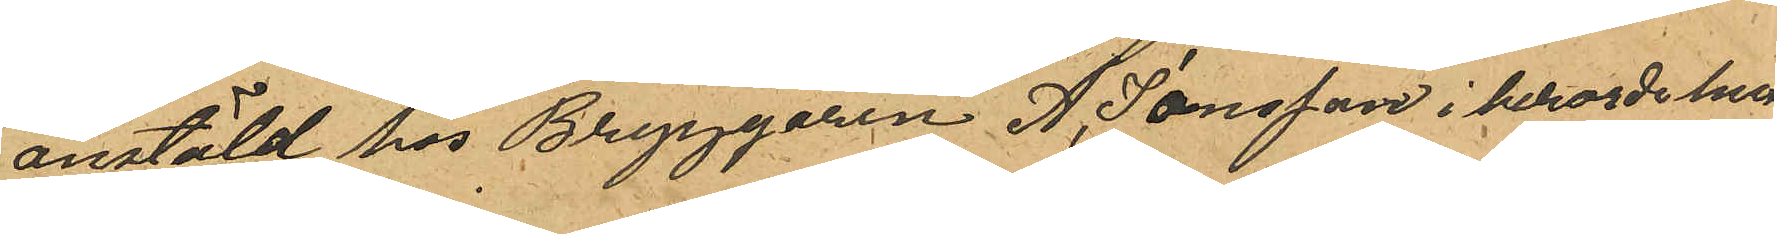anstäld hos Bryggaren A. Jonsson i berorde hus¬
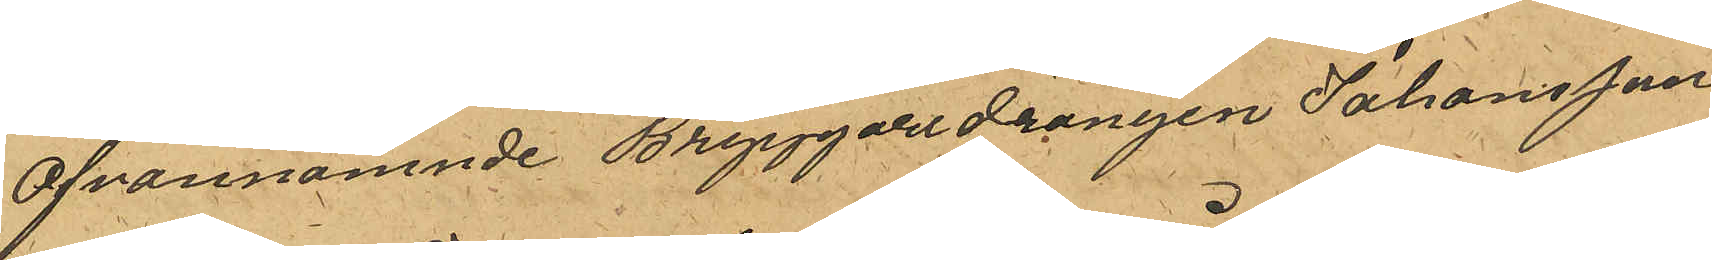Ofvannämnde Bryggaredrängen Johansson
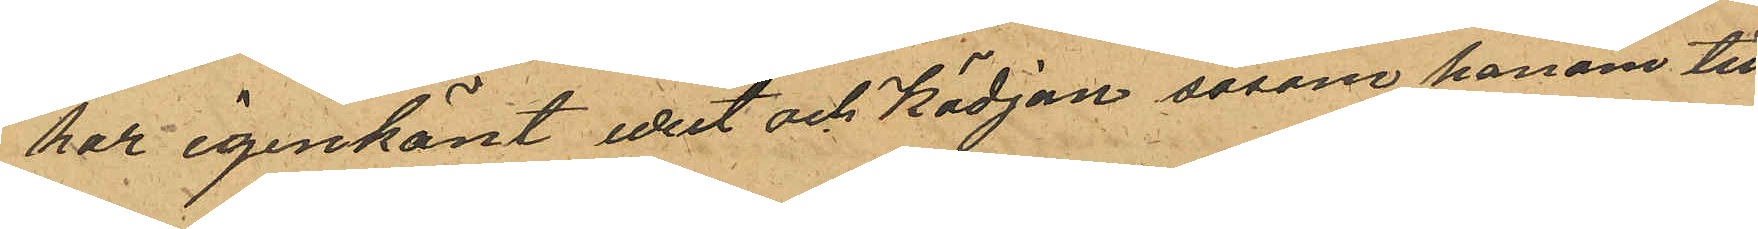har igenkänt uret och kädjan såsom honom till¬
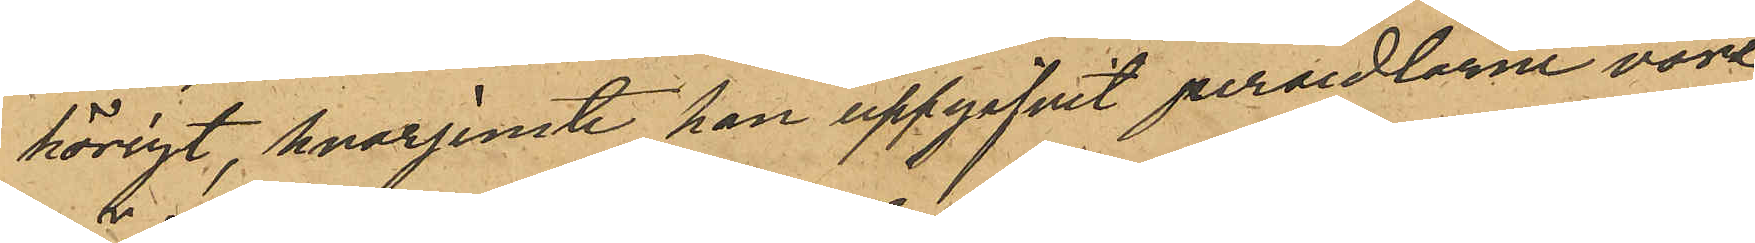hörigt, hvarjemte han uppgifvit persedlarne vore
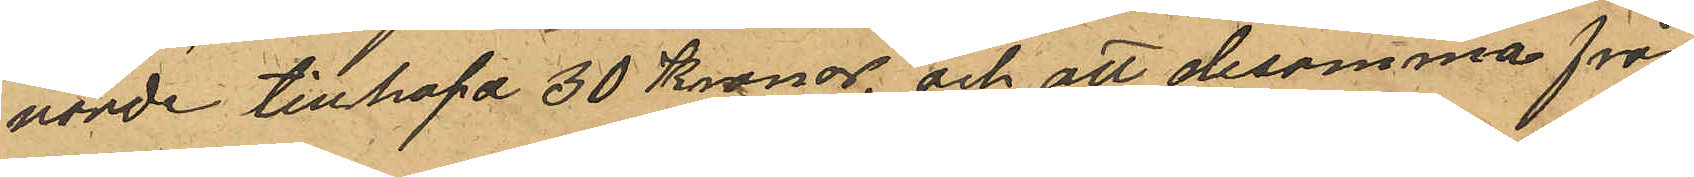värde tillhopa 30 Kronor, och att desamma från
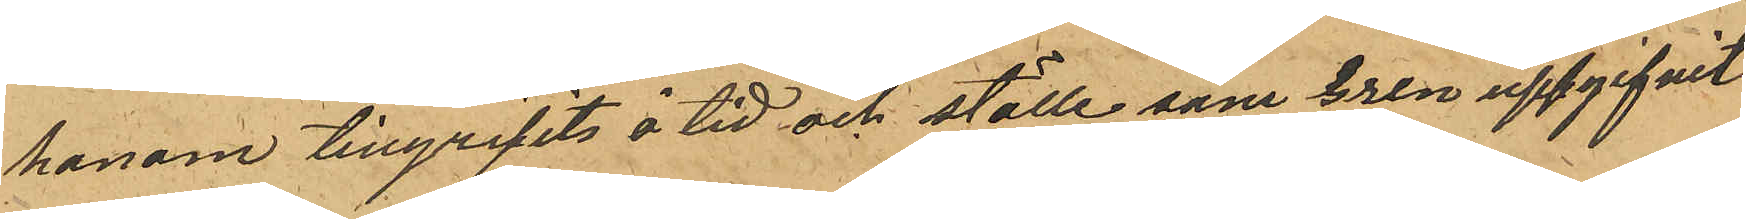honom tillgripits å tid och ställe som Gren uppgifvit,
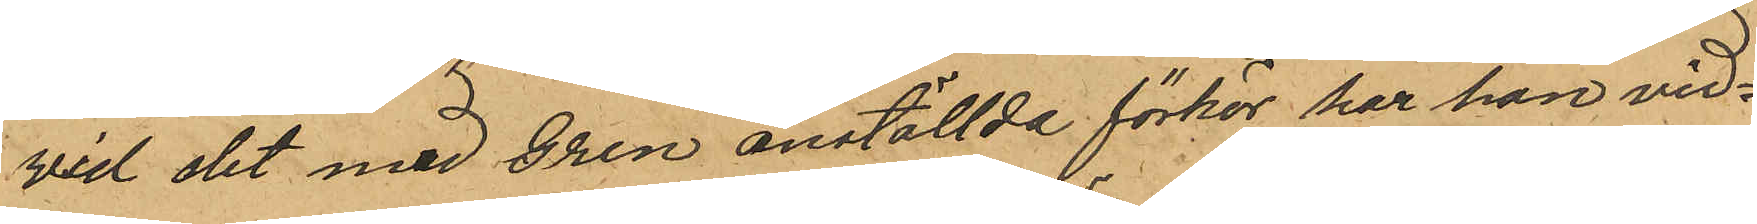Vid det med Gren anställda förhör har han vid¬
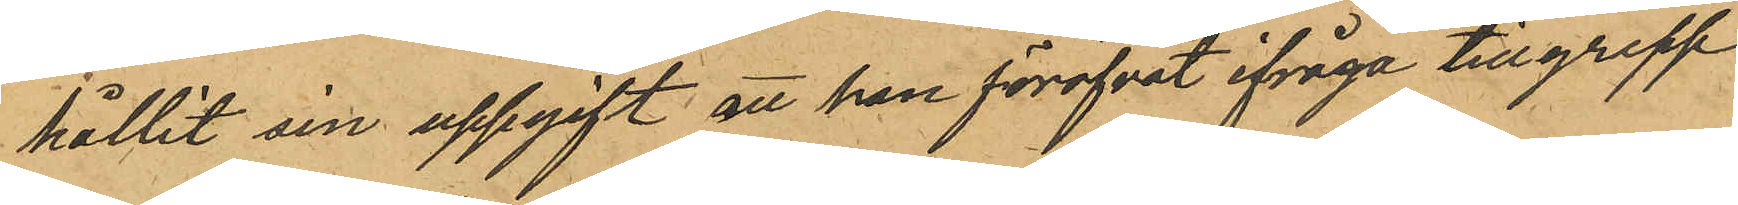hållit sin uppgift att han föröfvat ifråga tillgrepp
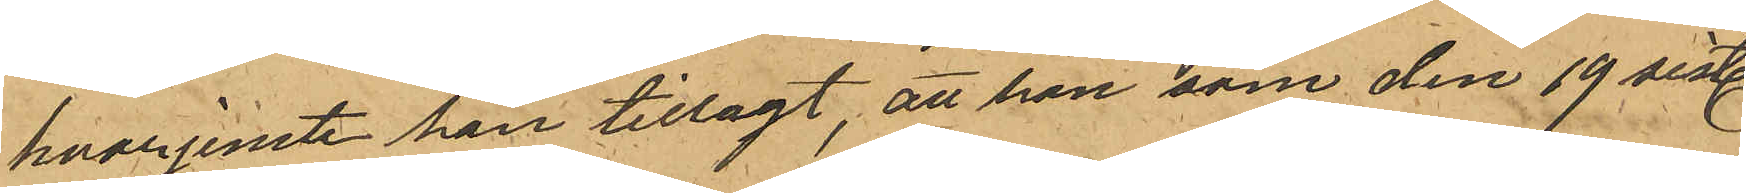hvarjemte han tillagt, att han som den 19 sistl.
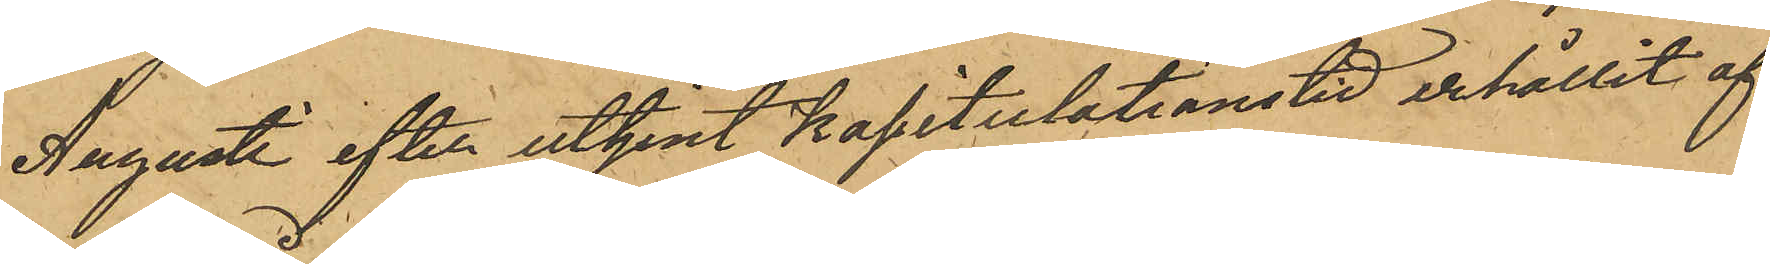Augusti efter uttjent kapitulationstid erhållit af¬
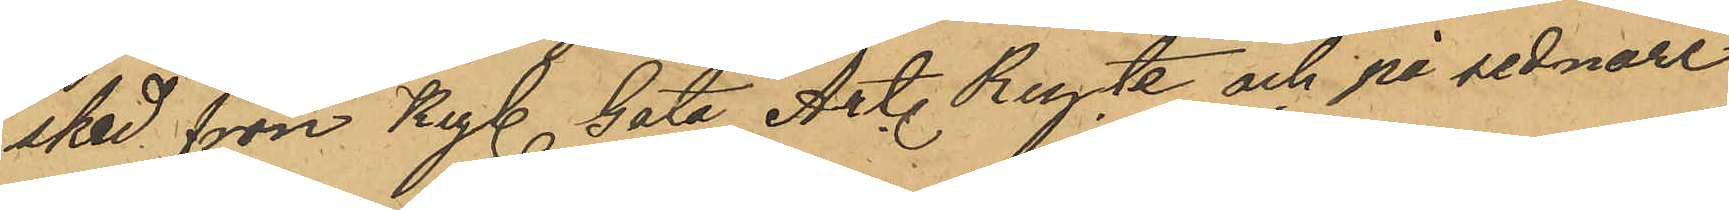sked från Kgl. Göta Art. Regte och på sednare
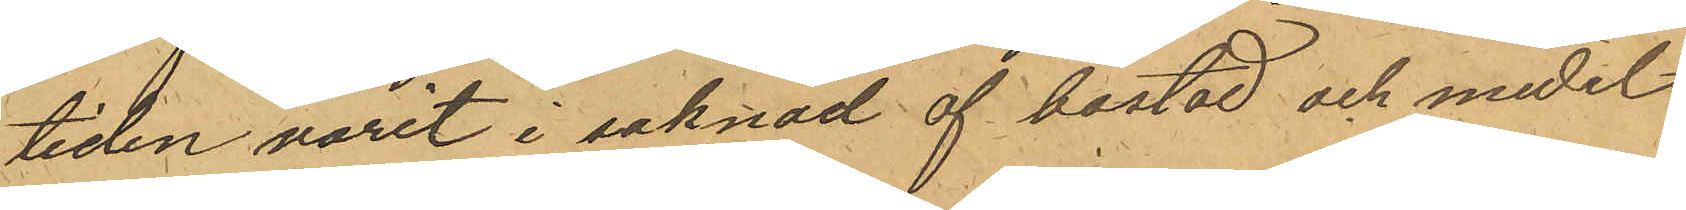tiden varit i saknad af bostad och medel.
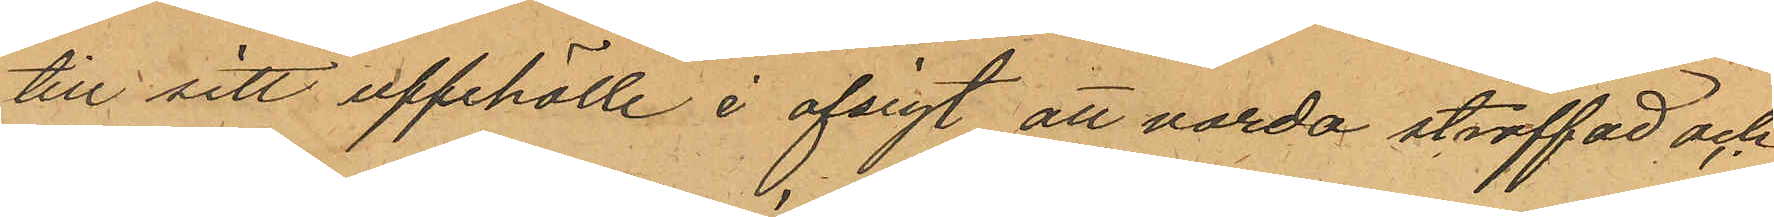till sitt uppehälle i afsigt att varda straffad och
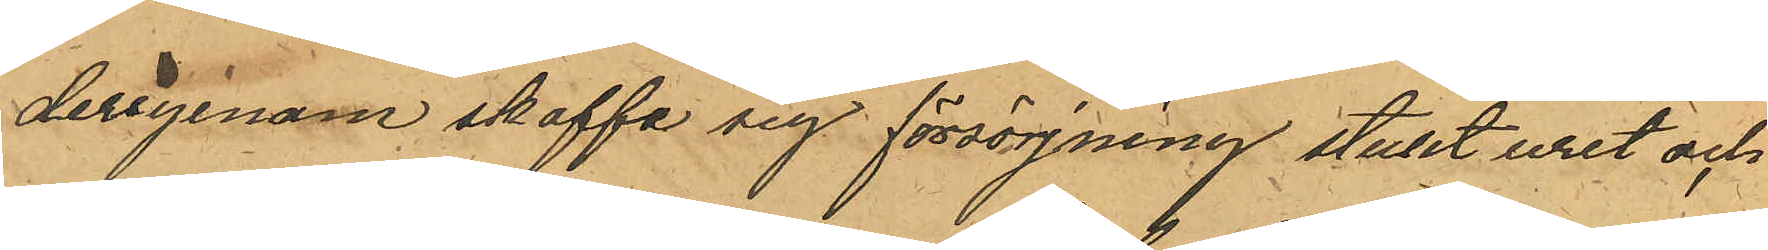derigenom skaffa sig försörjning stulit uret och
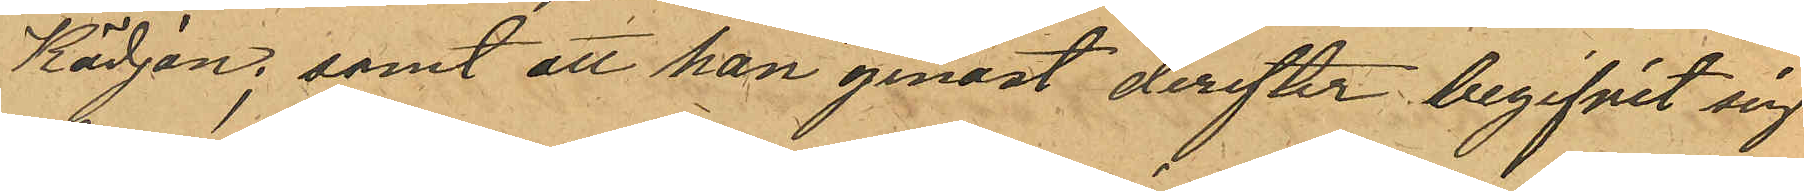Kädjan, samt att han genast derefter begifvit sig
